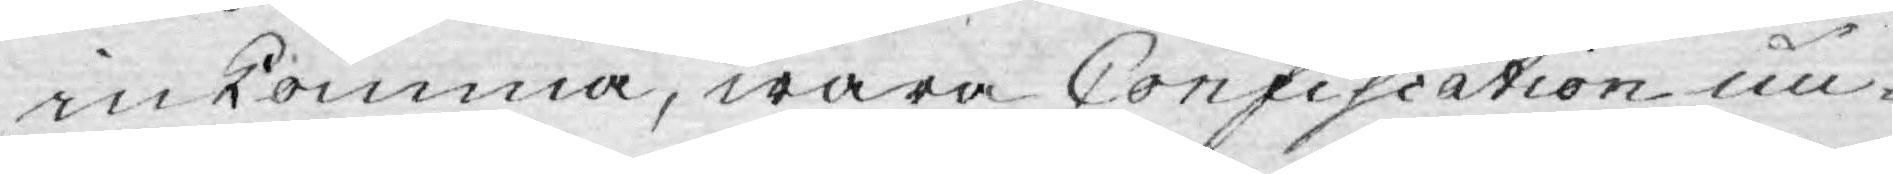inkomma, wara Confiscation un¬
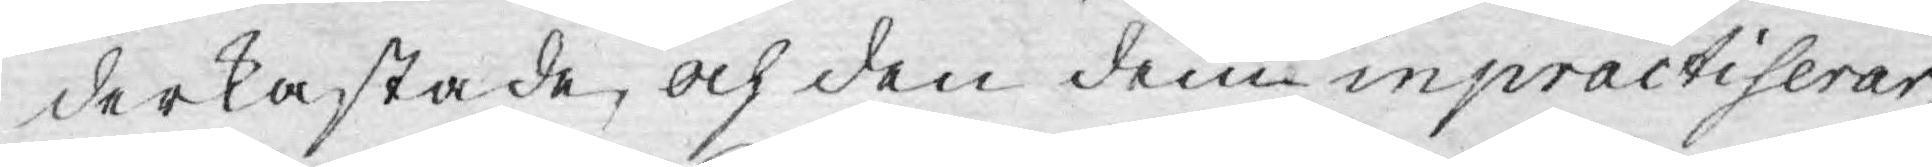derkastade, och den dem inpractiserar,
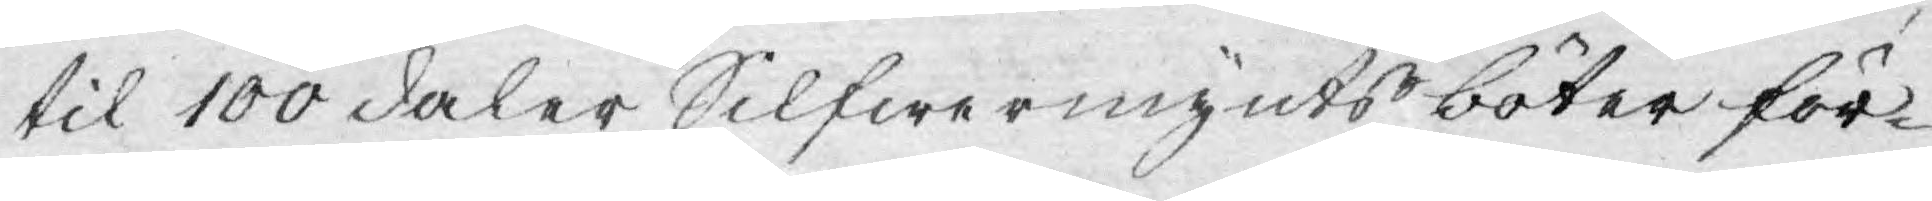til 100 daler Silfwermynts böter för¬
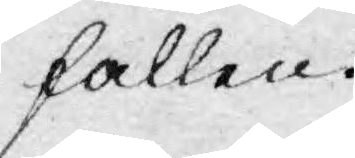fallen.
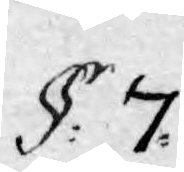§: 7.
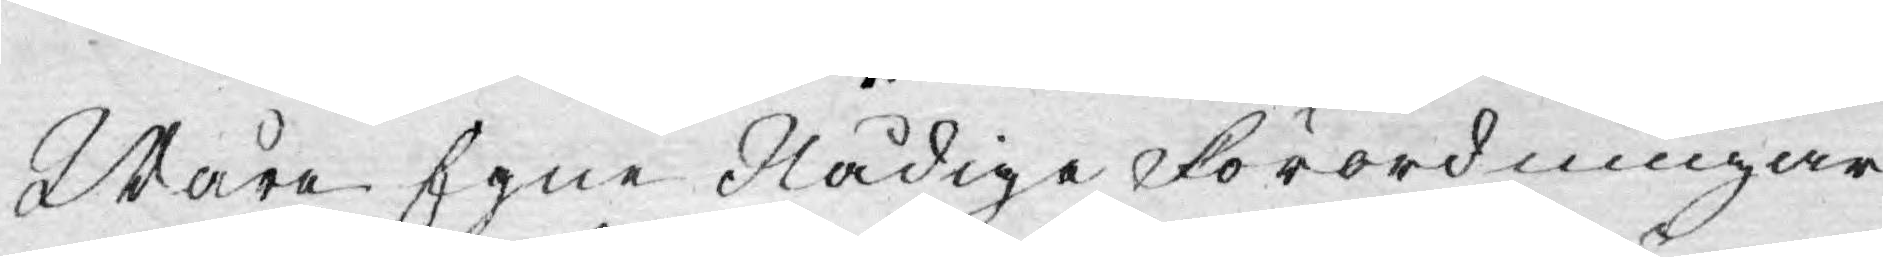Wåra Egne Nådiga Förordningar
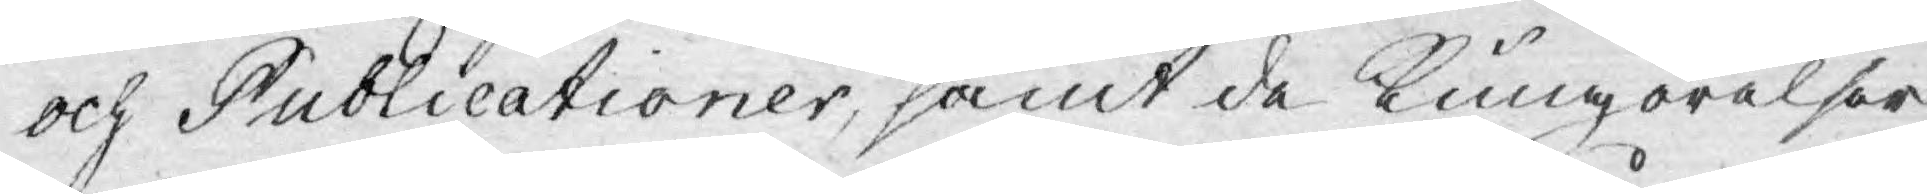och Publicationer, samt de Kungörelser
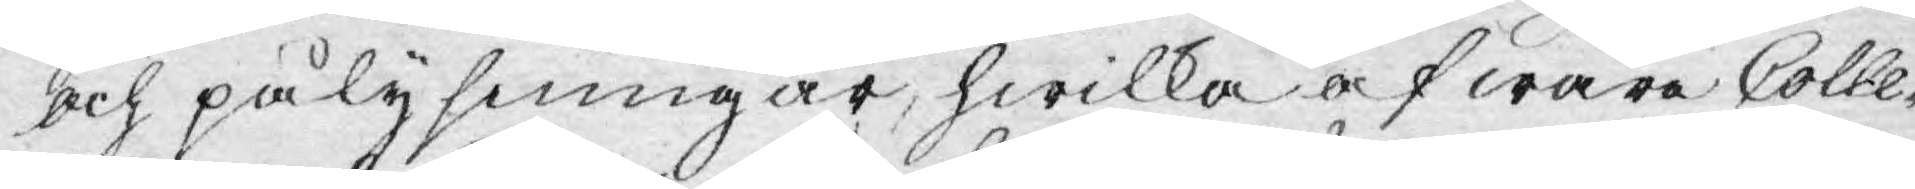och pålysningar, hwilka af wåra Colle¬
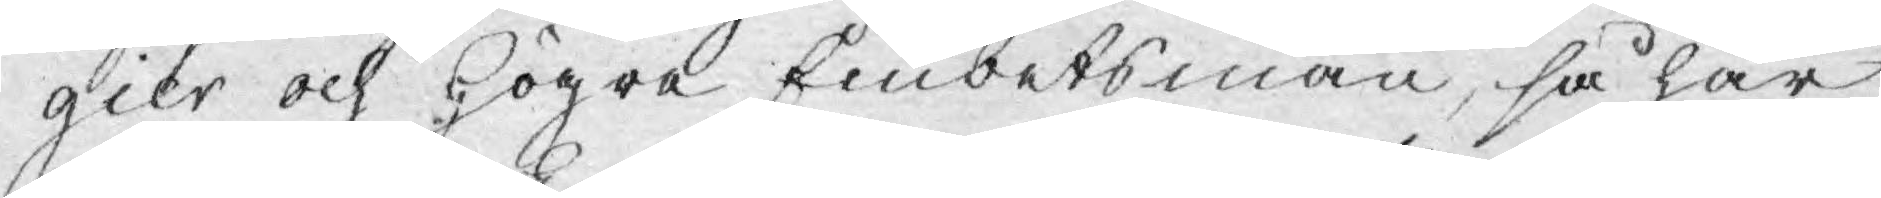gier och Högra Embetsmän, så här
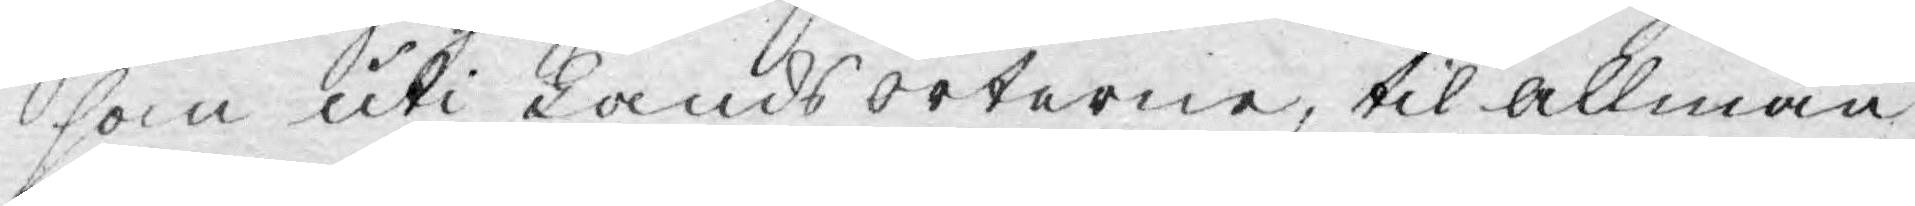som uti Landsorterne, til allmän
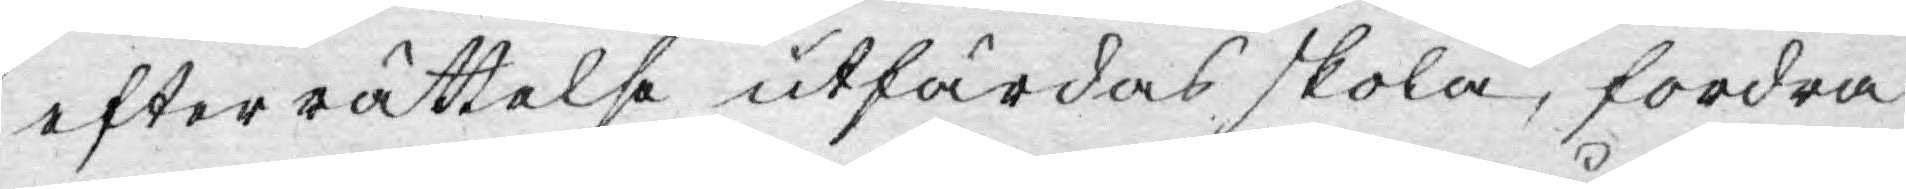efterrättelse utfärdas skola, fordra
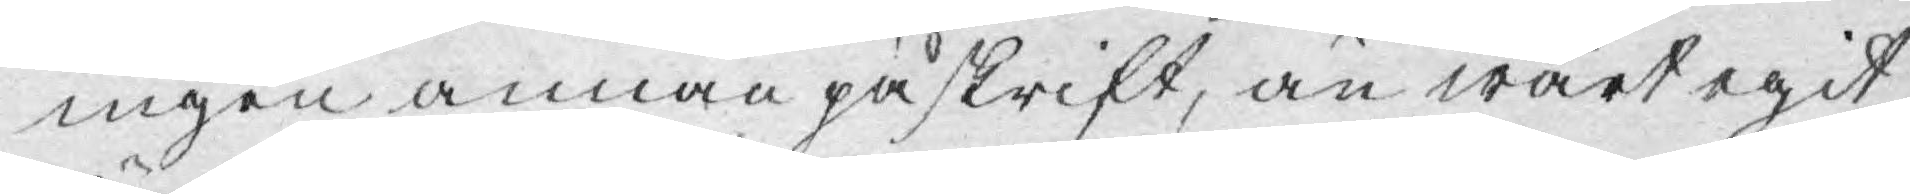ingen annan påskrift, än wårt egit
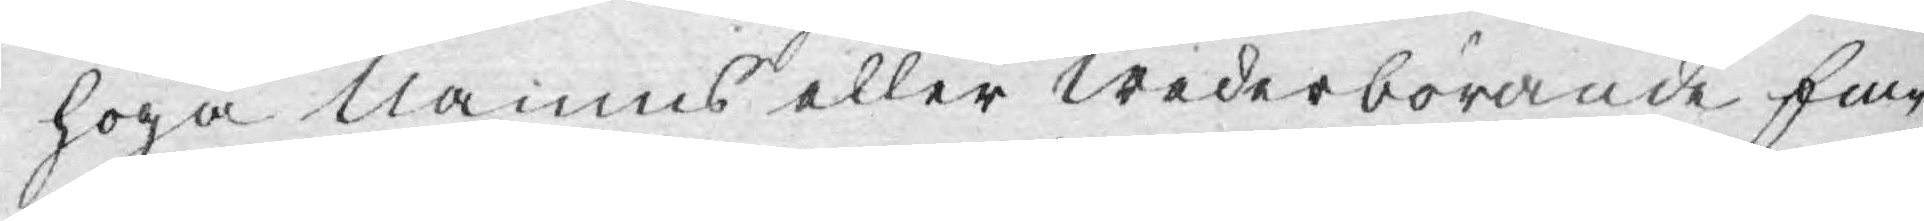höga Namns eller Wederbörande Em¬
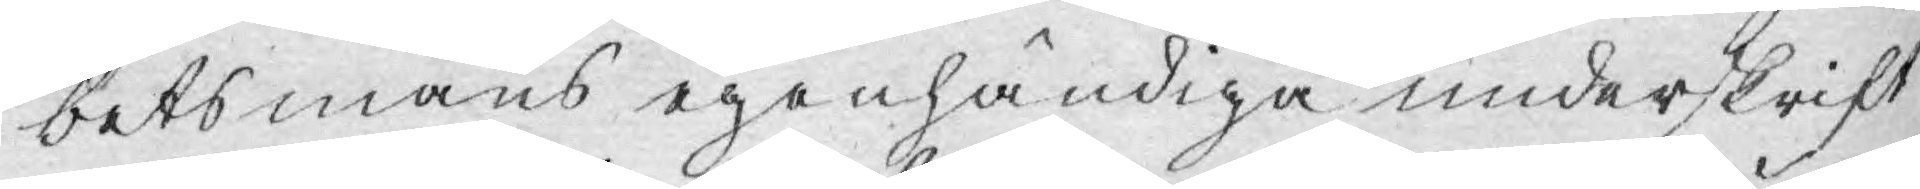betsmäns egenhändiga underskrift
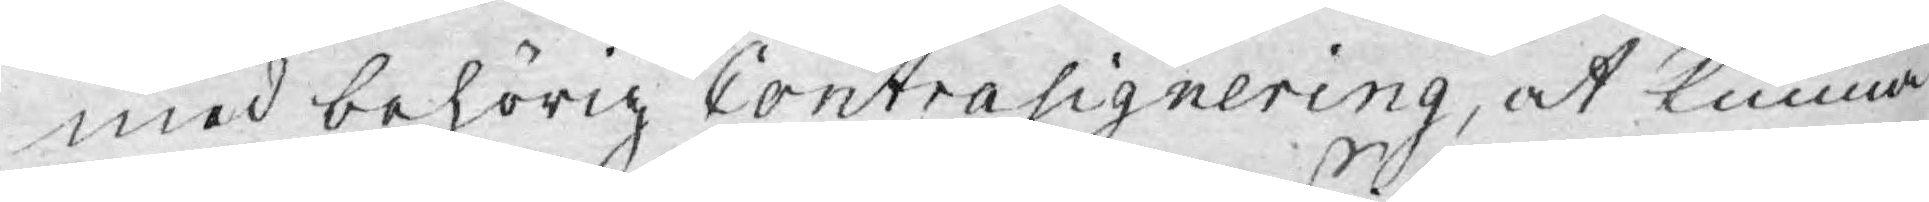med behörig Contrasignering, at kunna
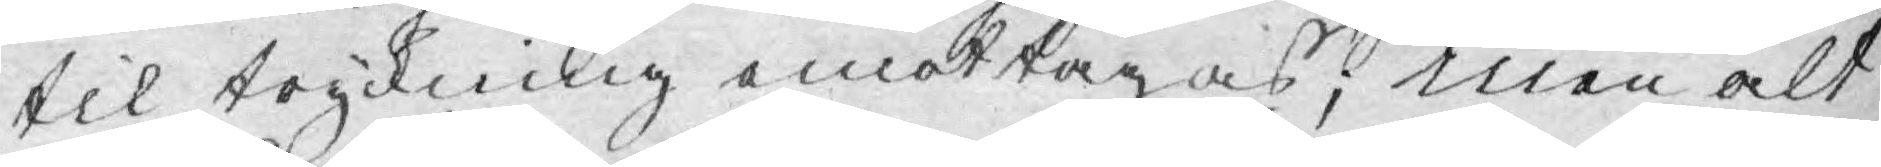til tryckning emottagas; men alt
